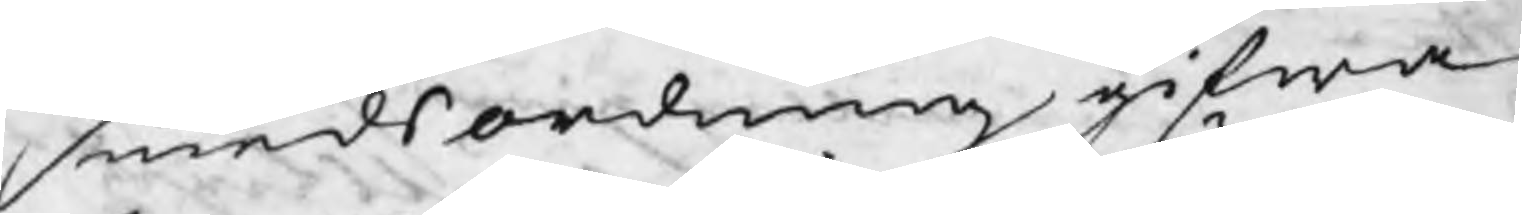smedsordning gifwa
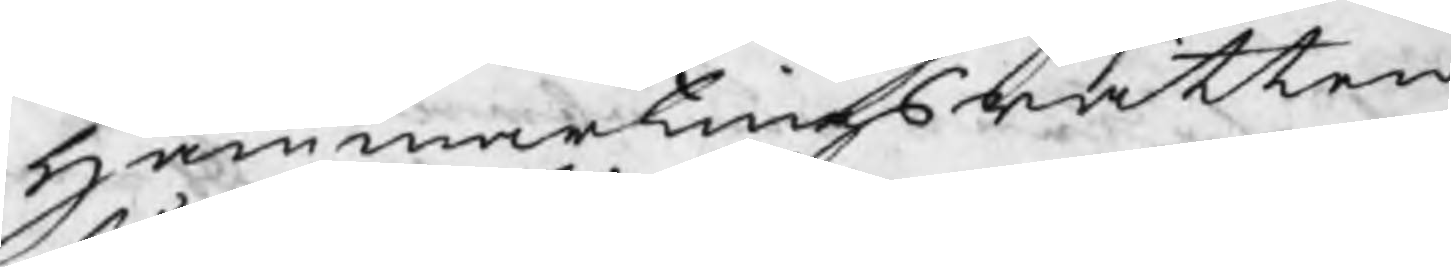Hammartingsrätten
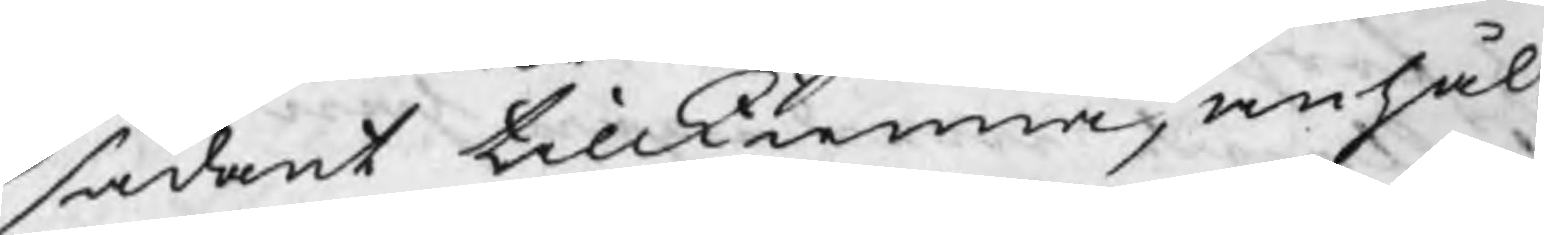sådant tillkienna, anhål¬
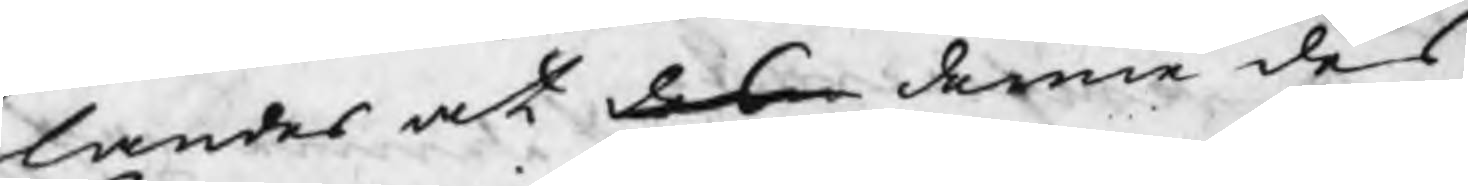landes at des denne des
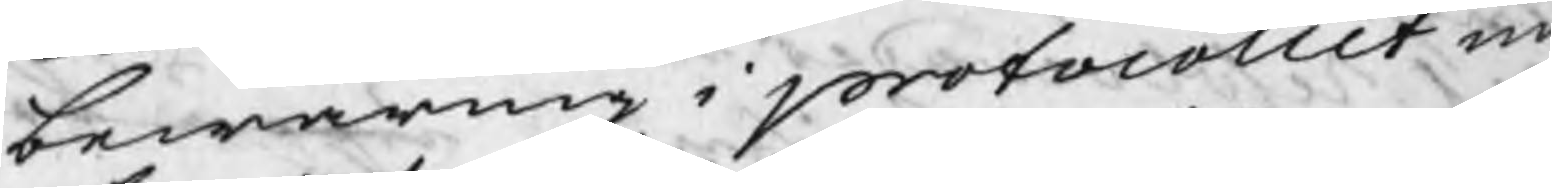bewaring i protocollet m
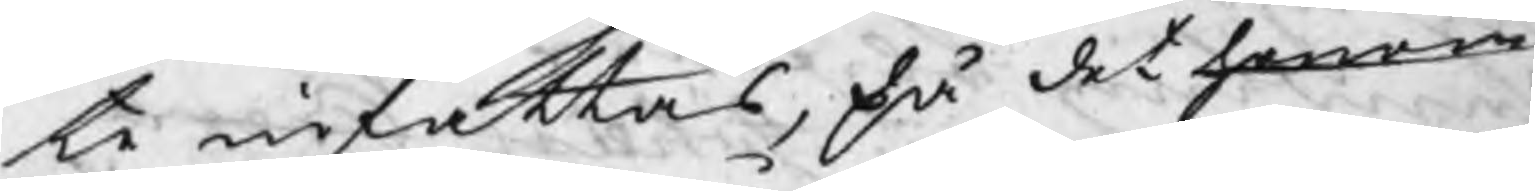te infattas, då det honom
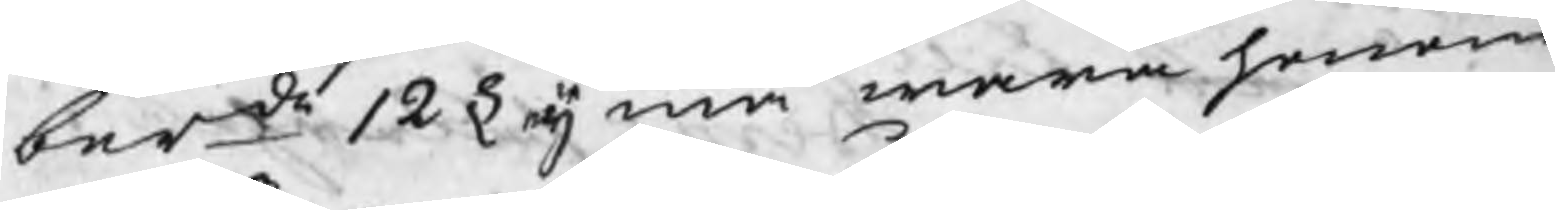berde 12 § eij må mera honom
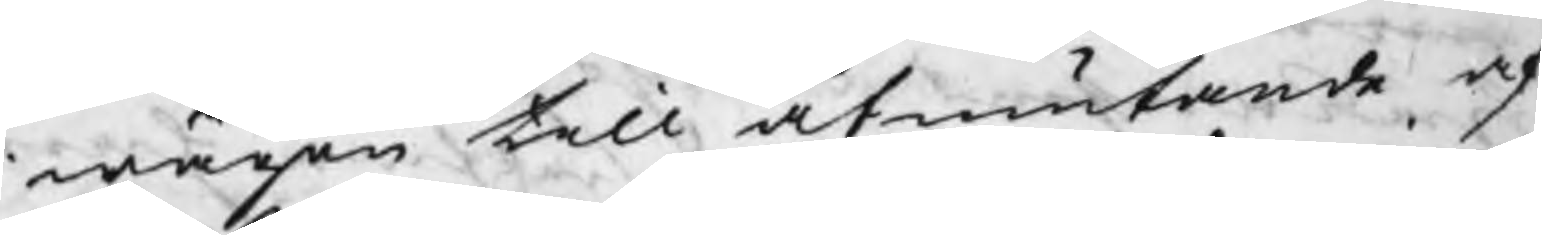i wägen till åtniutande af
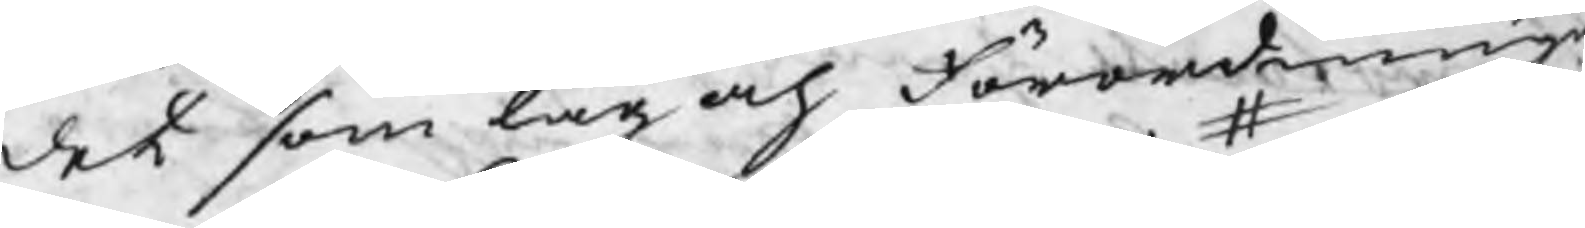det som lag och förordningar
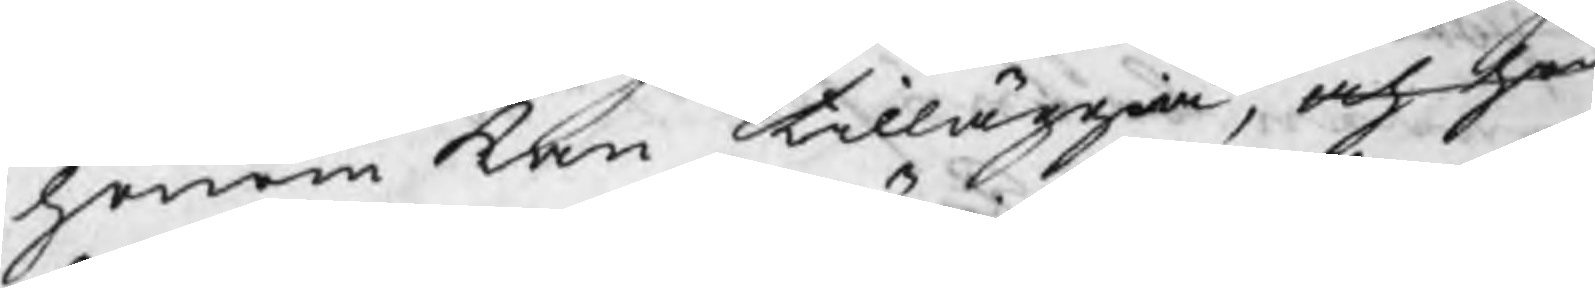honom kan tilläggia, och han
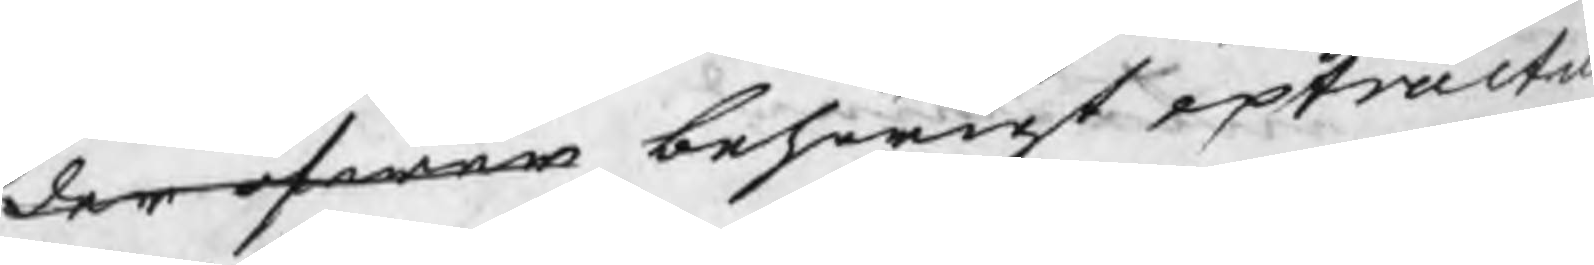der öfwer begörigt extractus
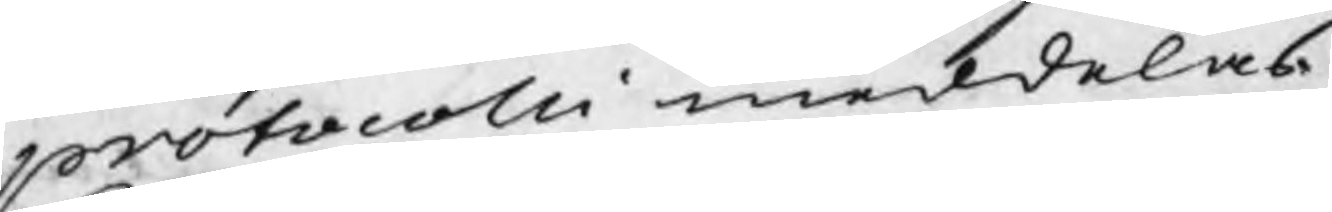protocolli meddelas.
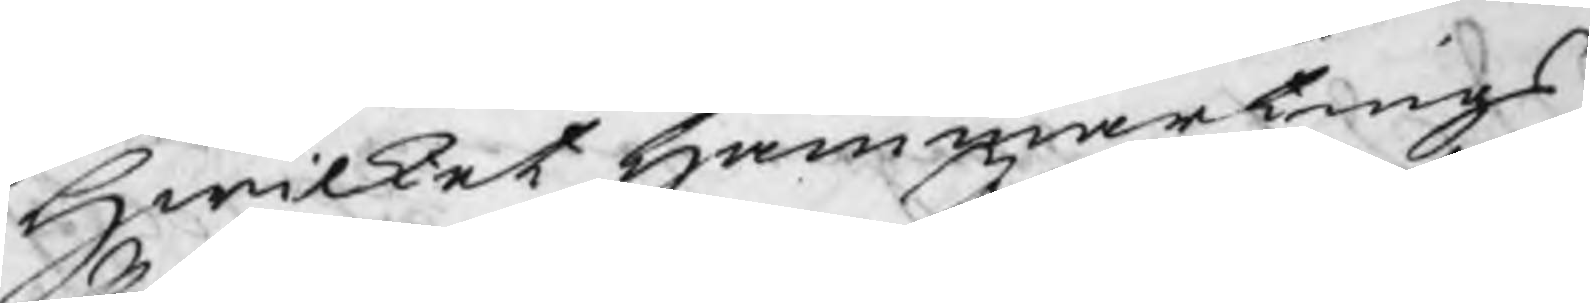Hwilket Hammartings
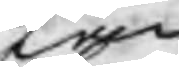Jan
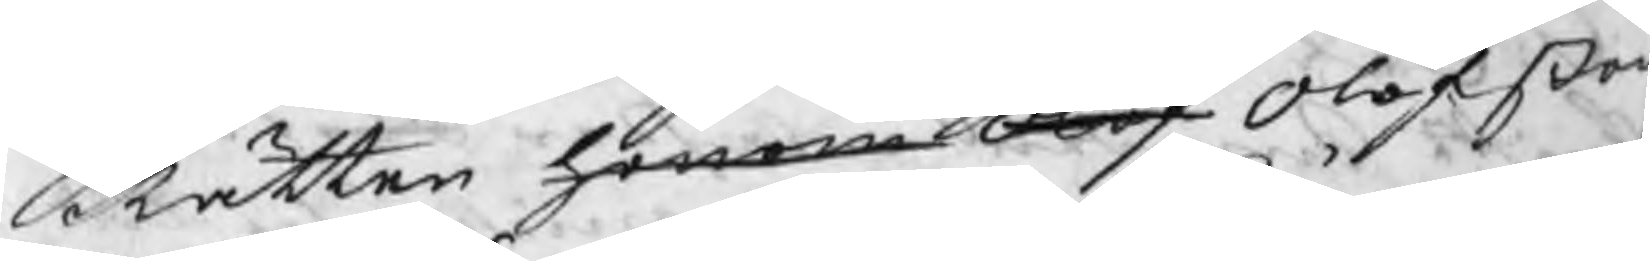Rätten honom Olof Olofßon
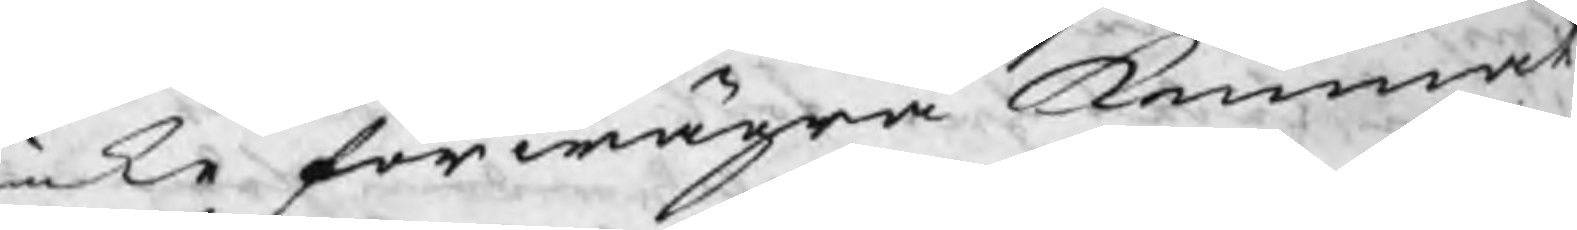icke förwägrat kunnat,
